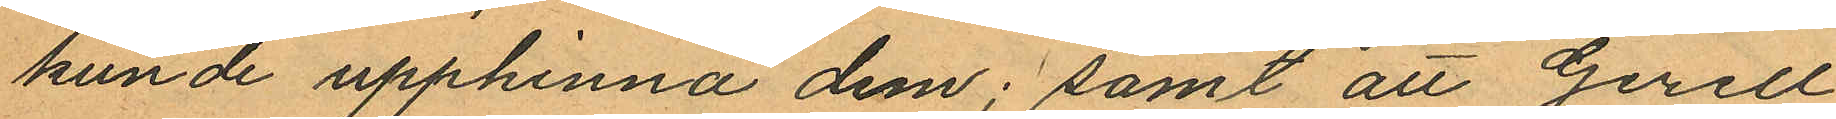kunde upphinna dem; samt att Gerell
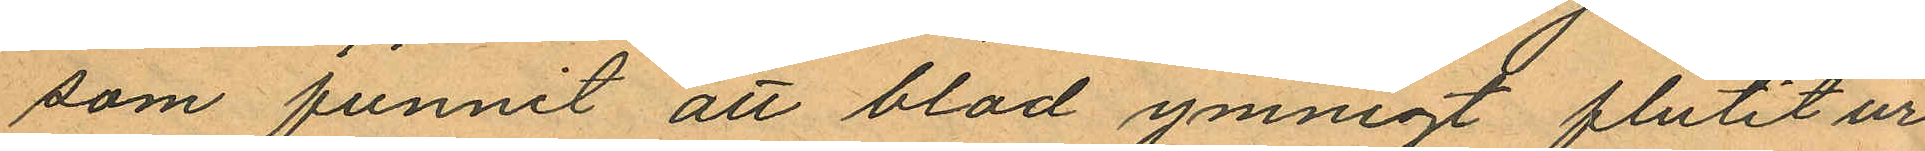som funnit att blod ymnigt flutit ur
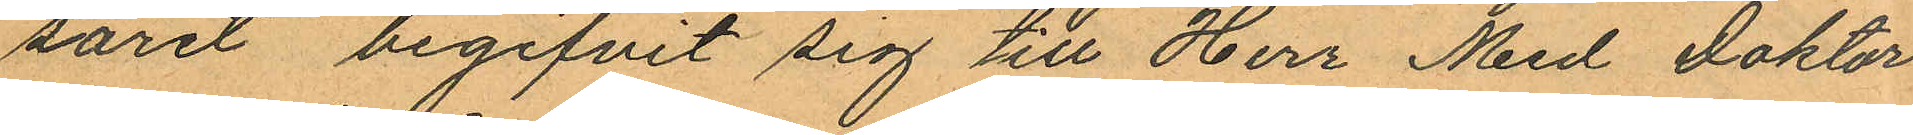såret begifvit sig till Herr Med Doktor
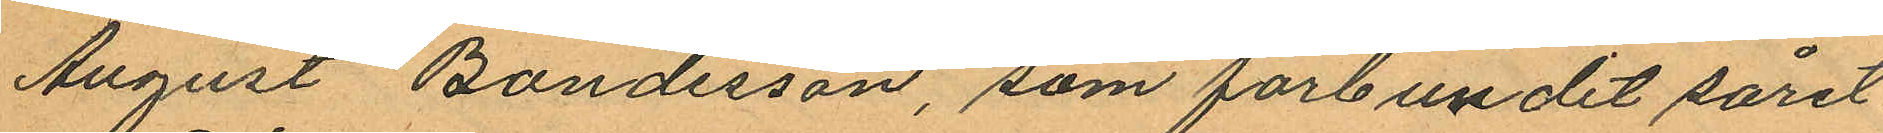August Bondesson, som förbundet såret
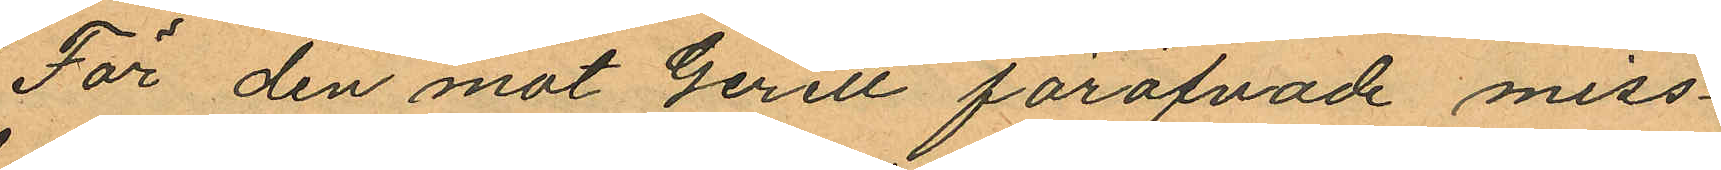För den mot Gerell föröfvade miss¬
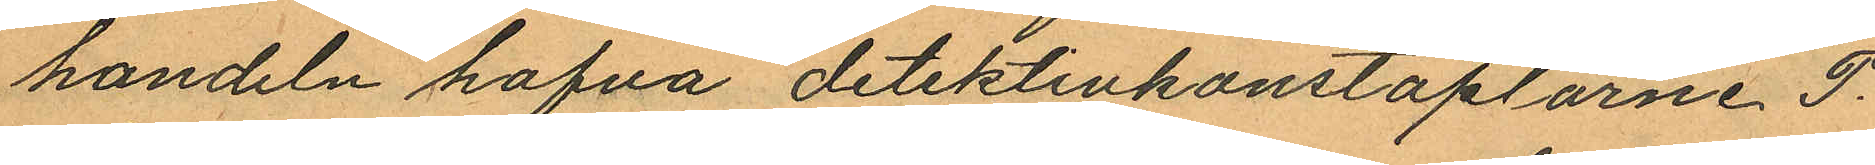handeln hafva detektivkonstaplarne P.
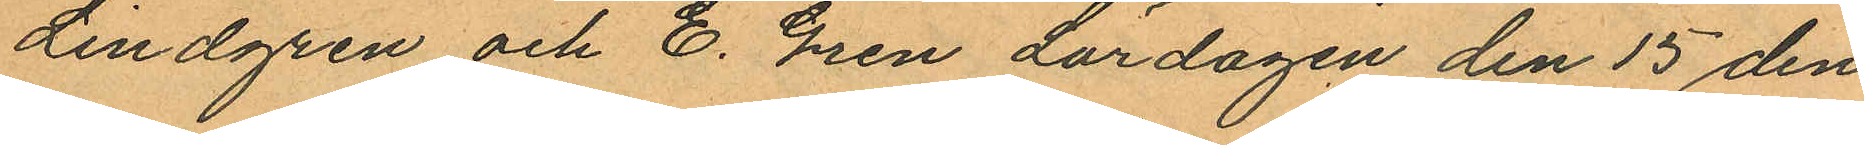Lindgren och E. Gren Lördagen den 15 den
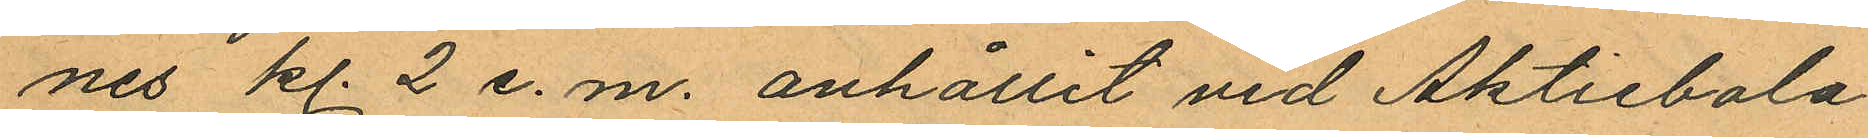nes kl. 2 e.m. anhållit vid Aktiebola¬
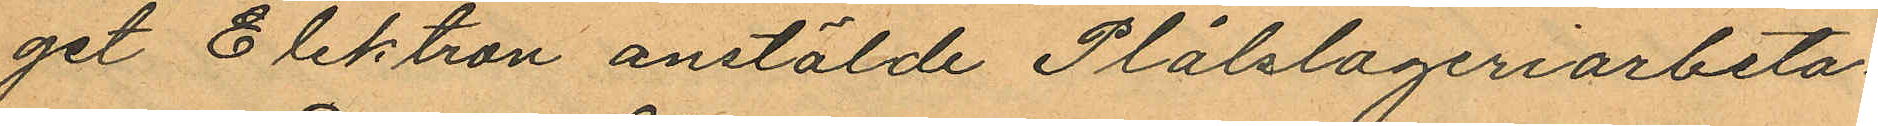get Elektron anstälde Plålslageriarbeta¬
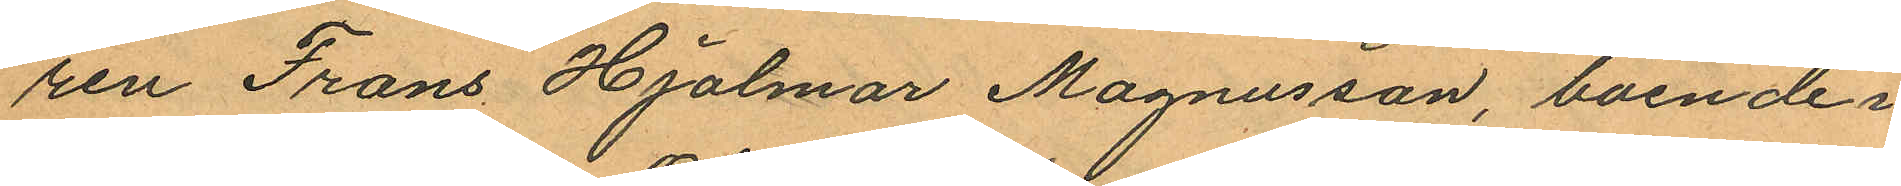ren Frans Hjalmar Magnusson, boende i
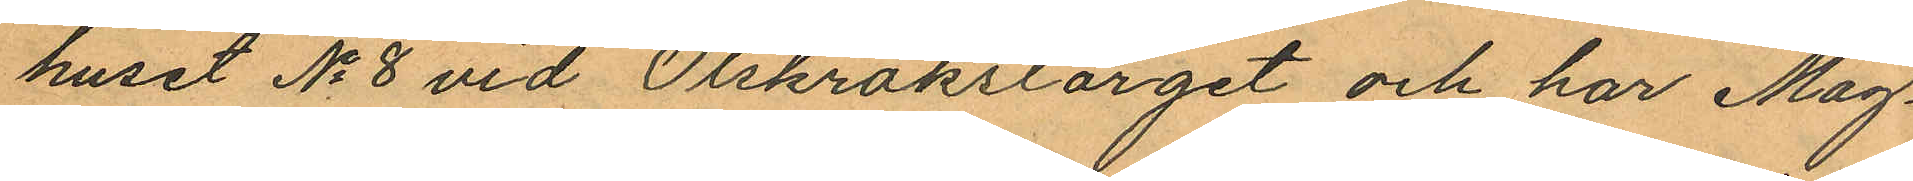huset No 8 vid Olskrokstorget och har Mag¬
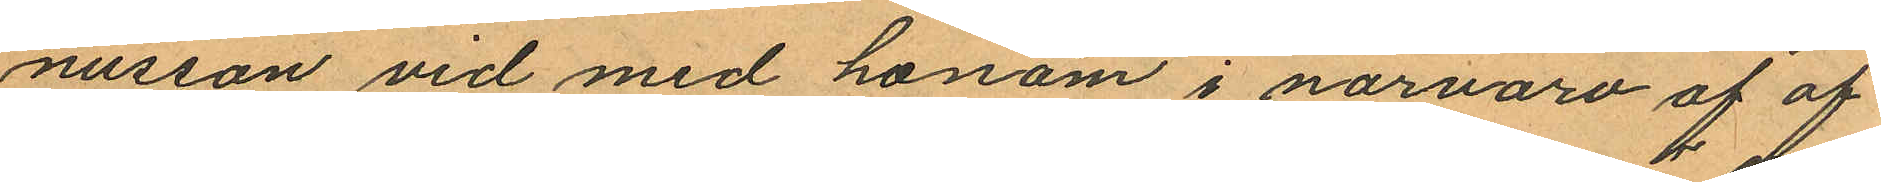nusson vid med honom i närvaro af of
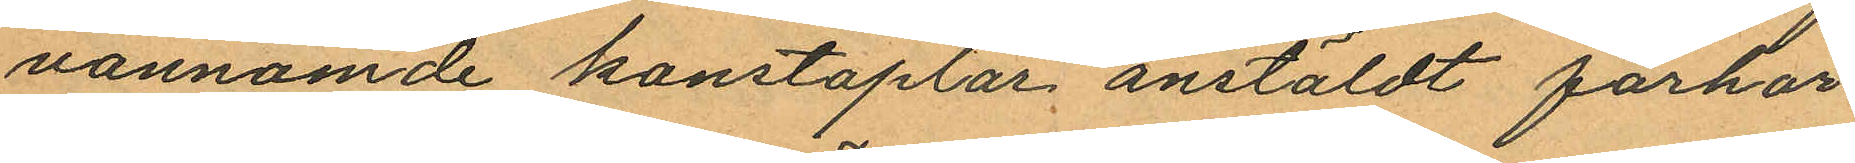vannämde konstaplar anstäldt förhör
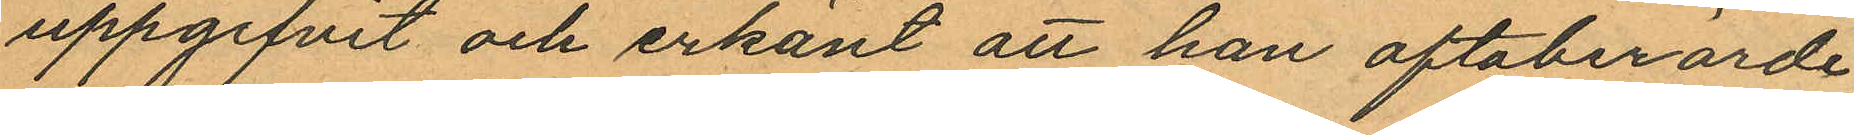uppgifvit och erkänt att han oftaberörde
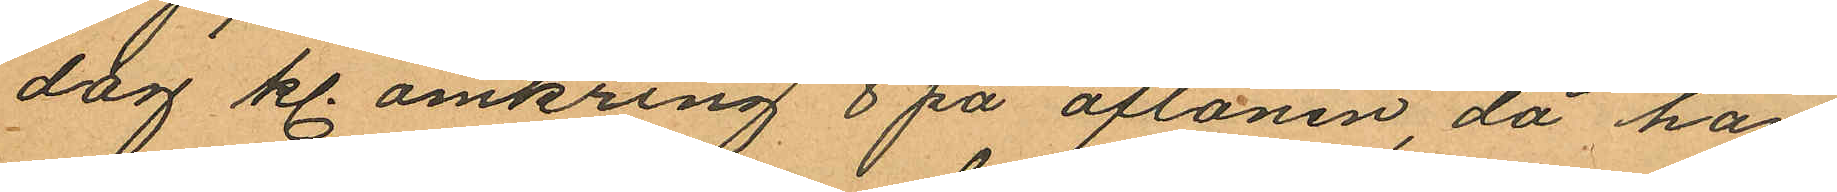dag kl. omkring 8 på aftonen, då han
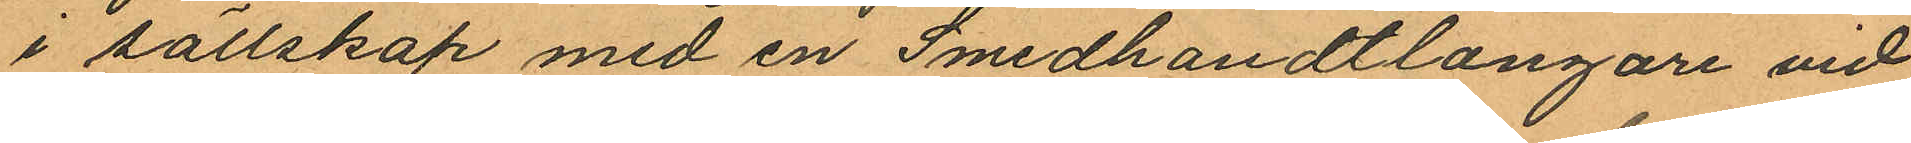i sällskap med en Smedhandtlangare vid
